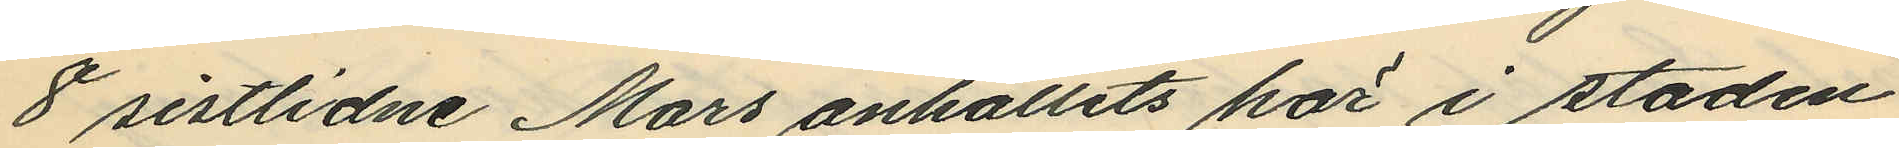8 sistlidne Mars anhållits här i staden
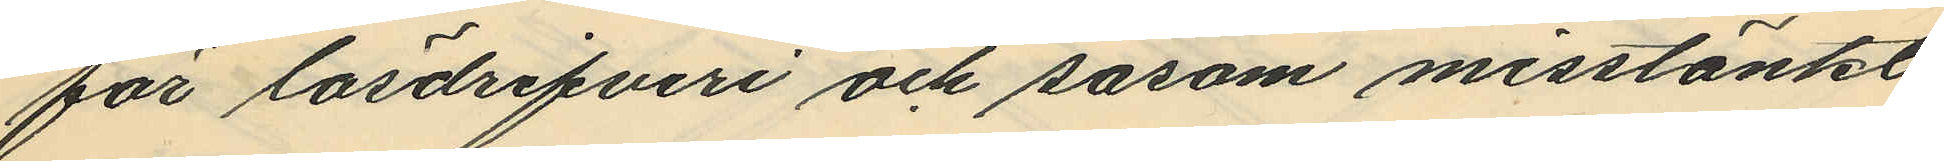för lösdrifveri och såsom misstänkt
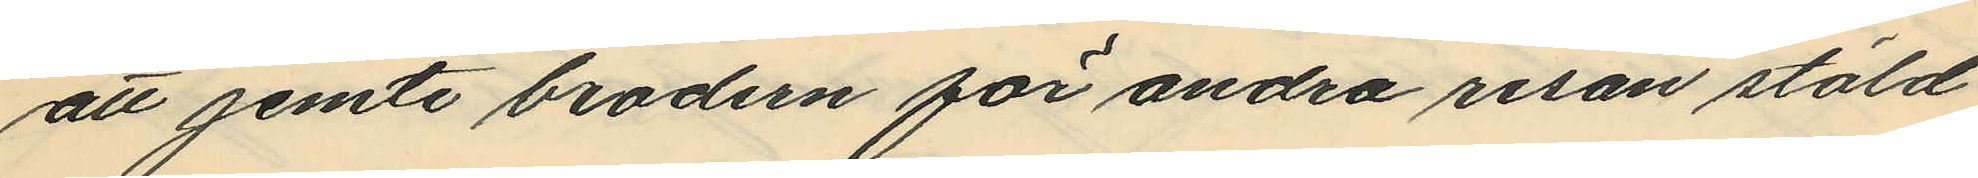att jemte brodern för andra resan stöld
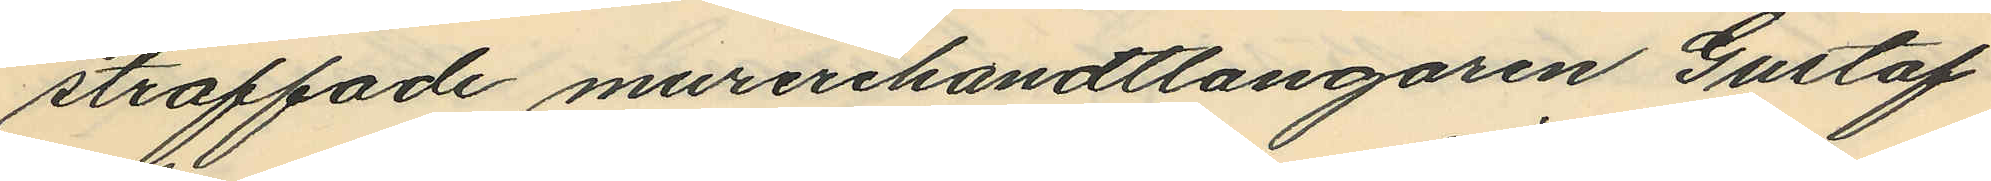straffade murerihandtlangaren Gustaf
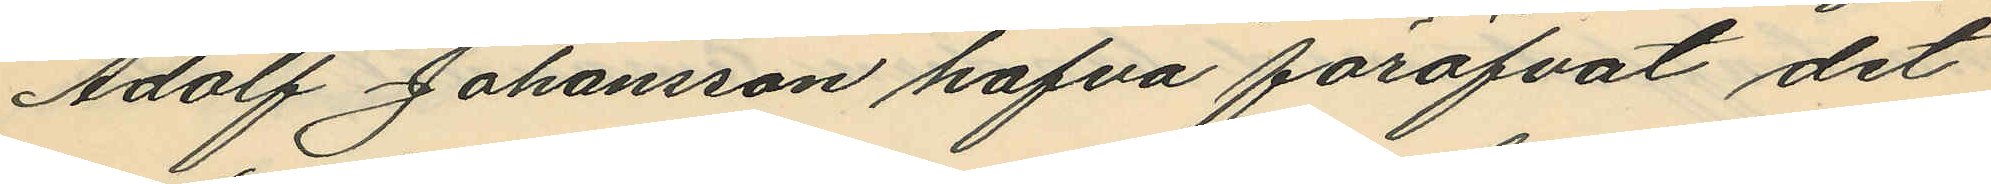Adolf Johansson hafva föröfvat det
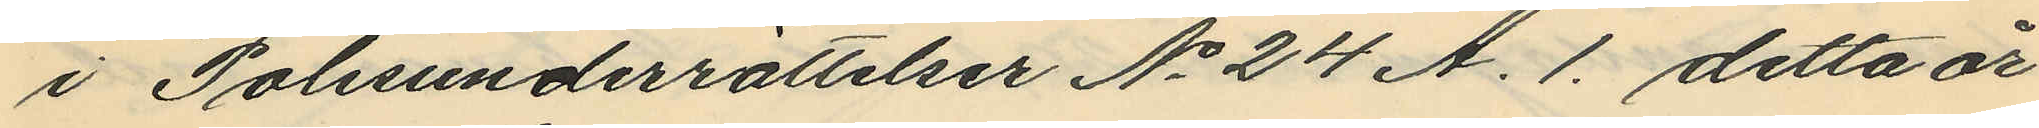i Polisunderrättelser No 24 A. 1. detta år
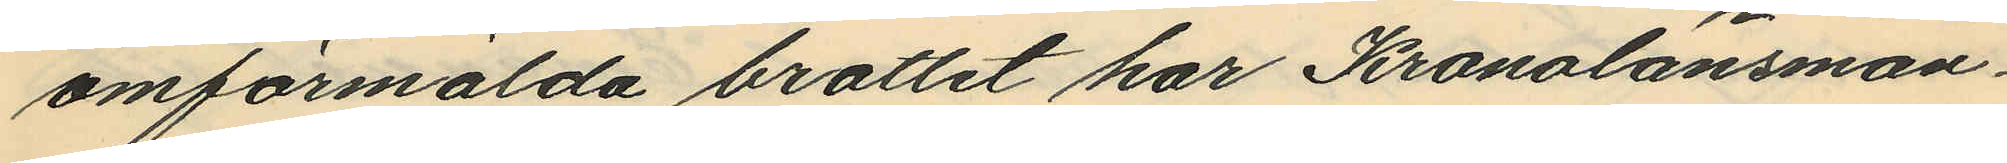omförmälda brottet har Kronolänsman¬
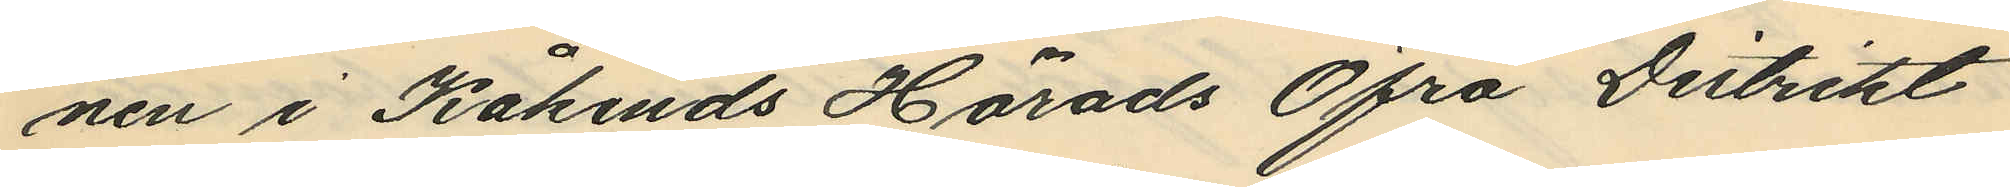nen i Kåkinds Härads Öfra Distrikt
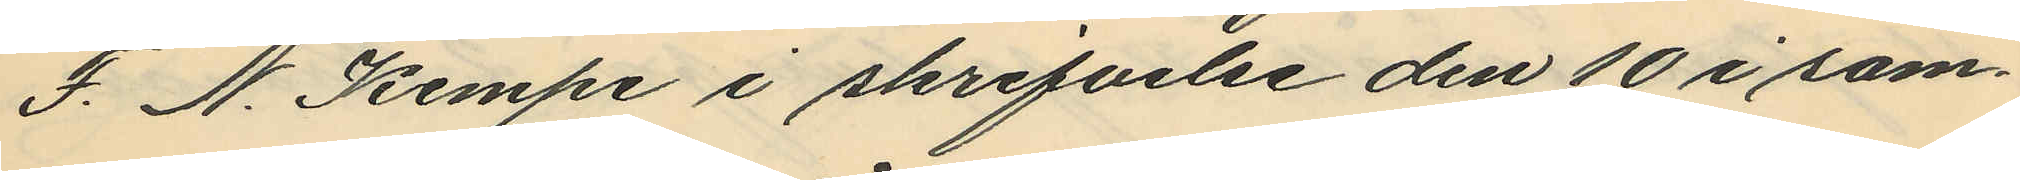F. N. Kempe i skrifvelse den 10 i sam¬
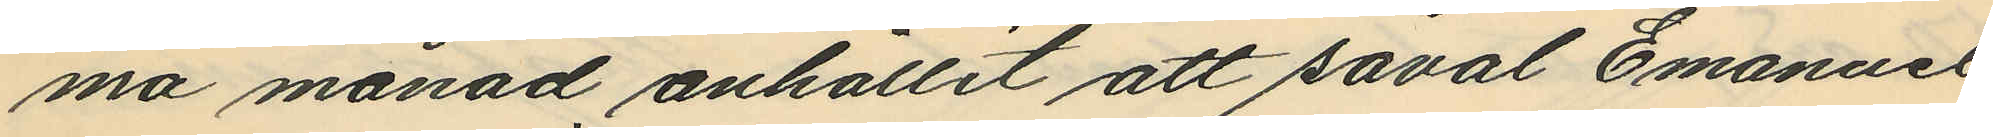ma månad anhållit att såval Emanuel
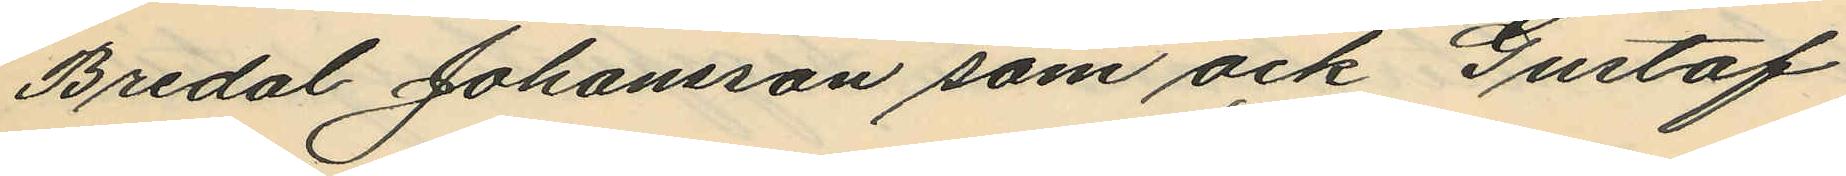Bredal Johansson som ock Gustaf
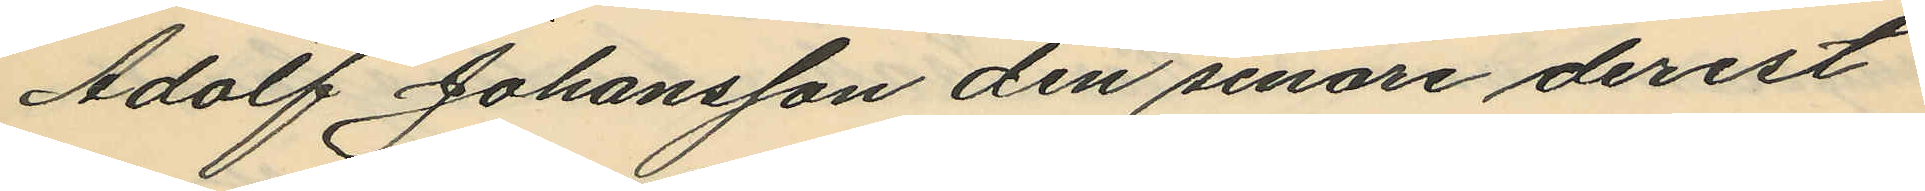Adolf Johansson den senare derest
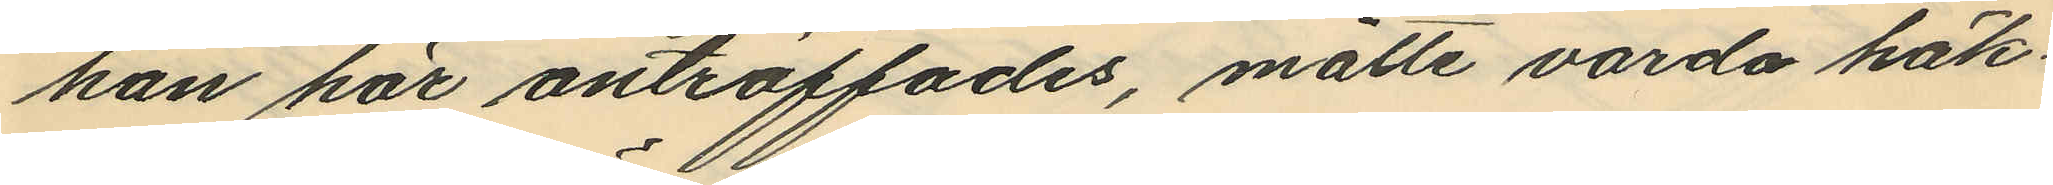han här anträffades, måtte varda häk¬
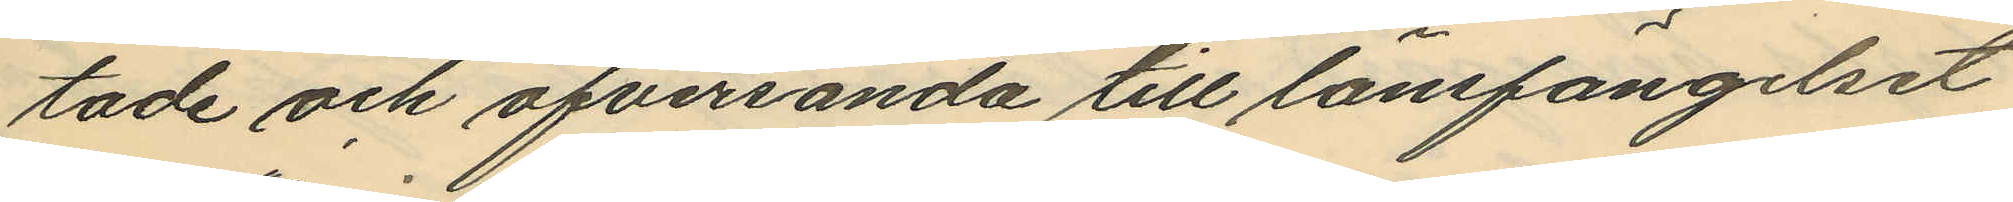tade och öfversända till länsfängelset
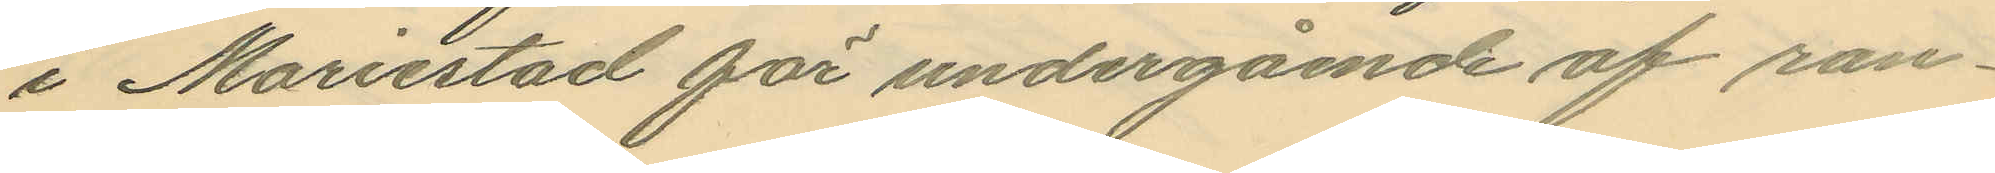i Mariestad för undergående af ran¬
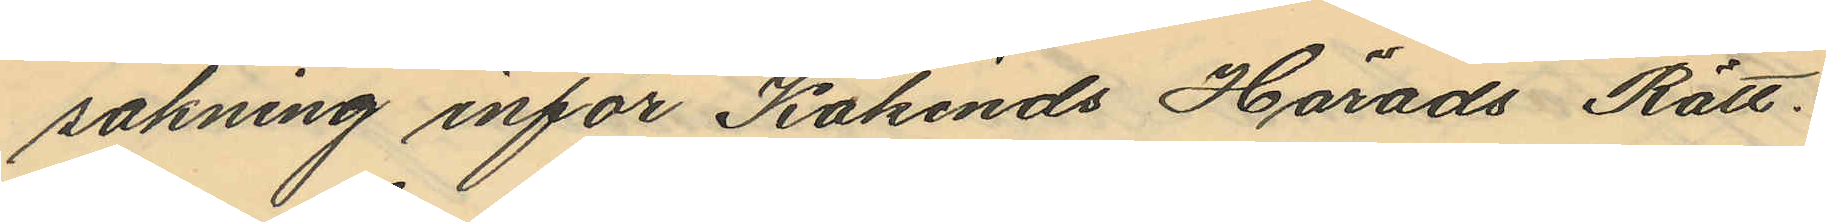sakning inför Kåkinds Härads Rätt.
